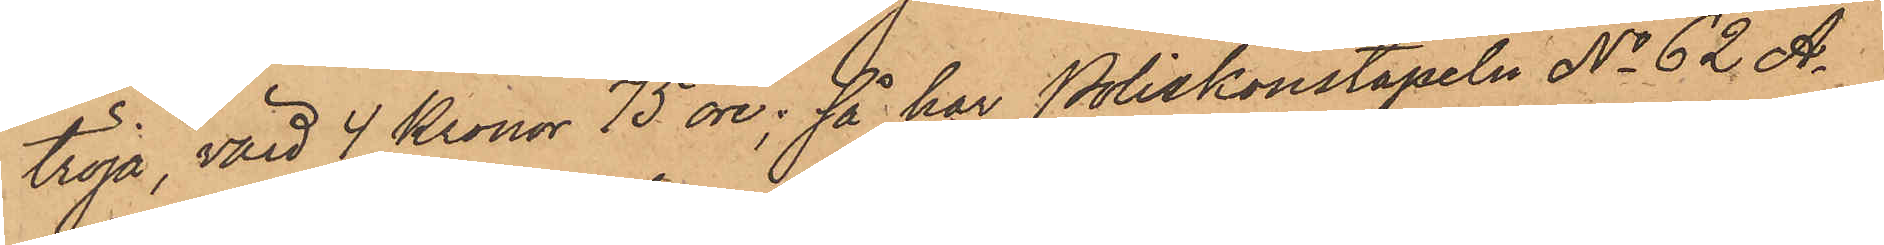tröja, värd 4 Kronor 75 öre; så har Poliskonstapeln No 62 A¬
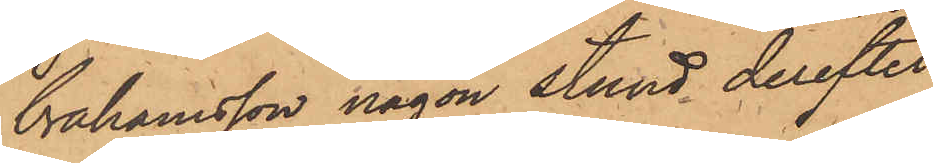brahamsson någon stund derefter
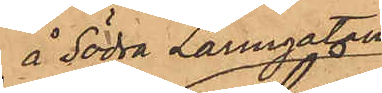å Södra Larmgatan
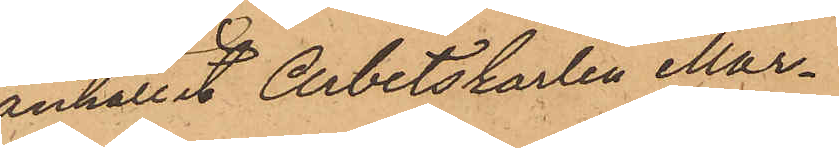anhållit Arbetskarlen Mar¬
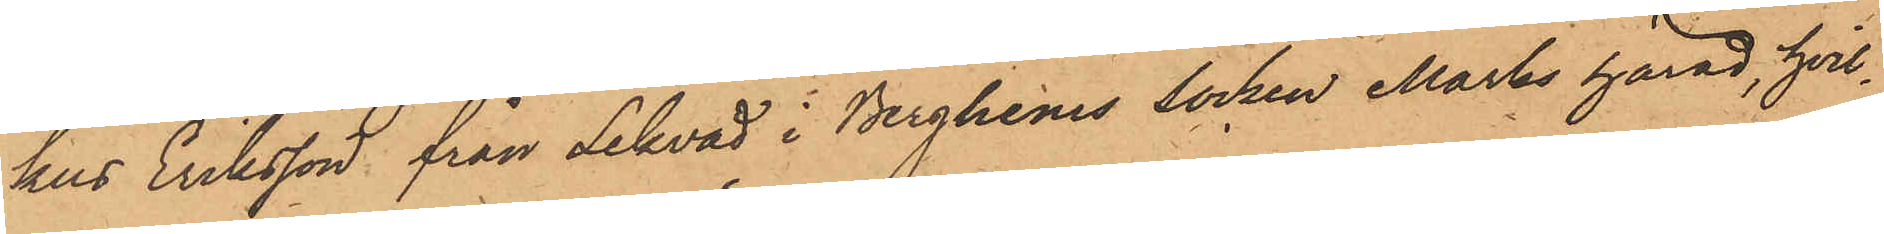kus Eriksson från Lekvad i Berghems Socken Marks härad, hvil¬
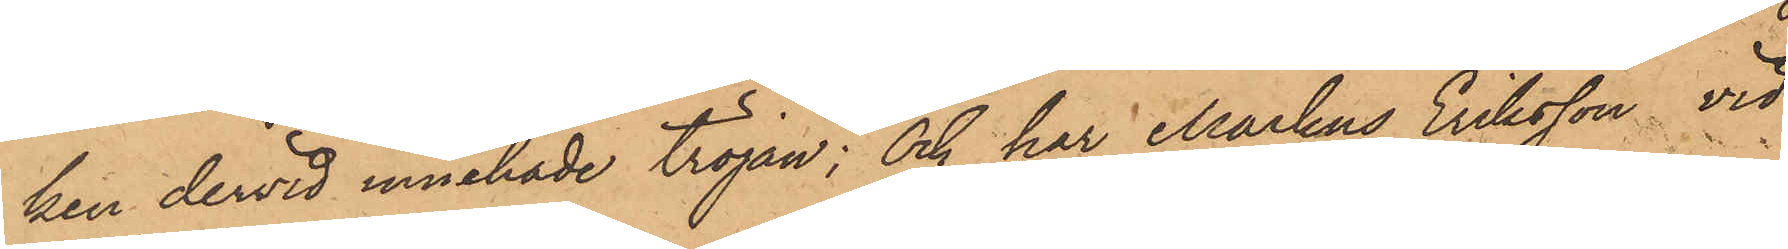ken dervid innehade tröjan; och har Markus Eriksson vid
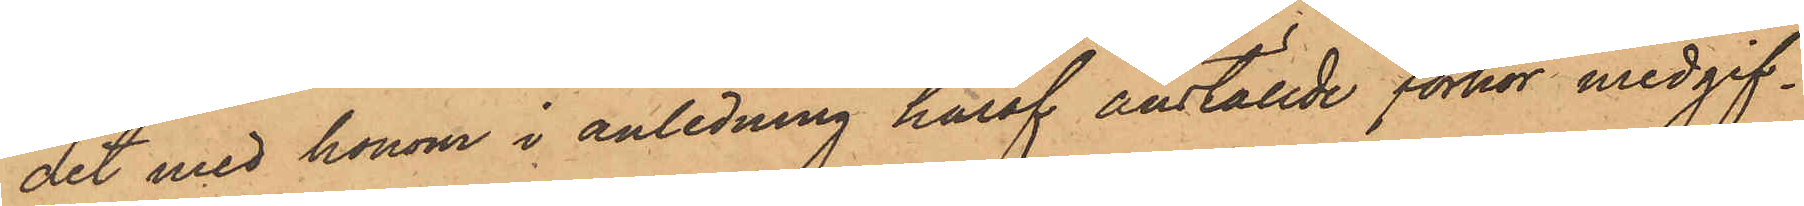det med honom i anledning häraf anställde förhör medgif¬
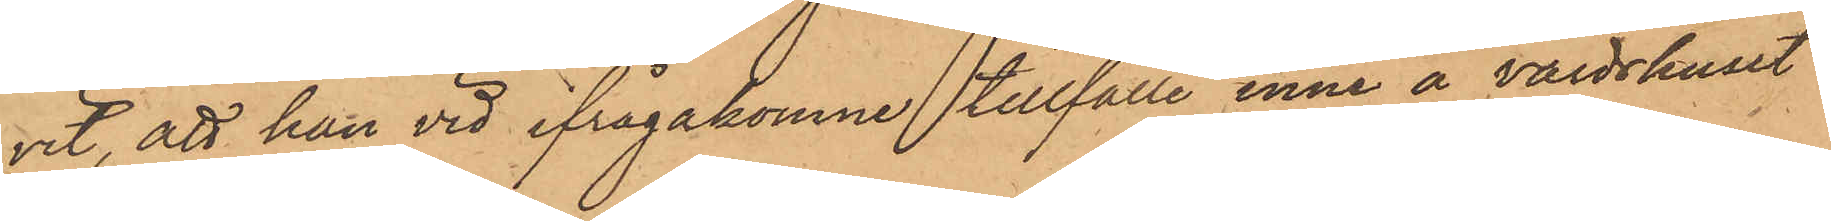vit, att han vid ifrågakomne tillfälle inne å värdshuset
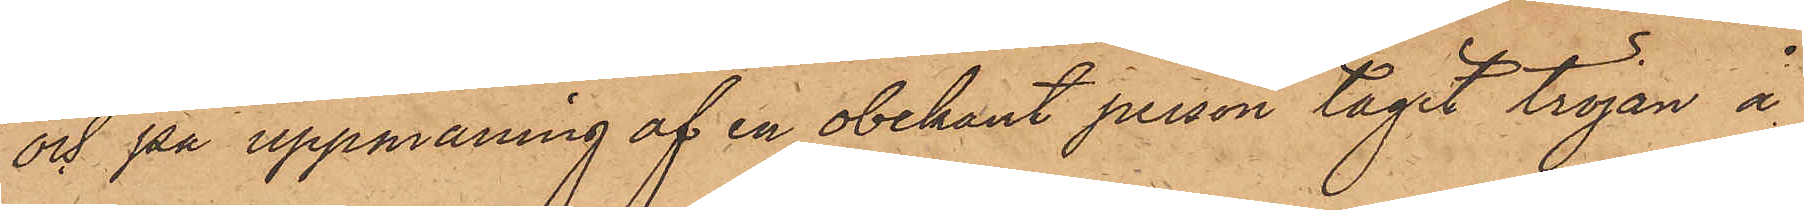och på uppmaning af en obekant person tagit tröjan å
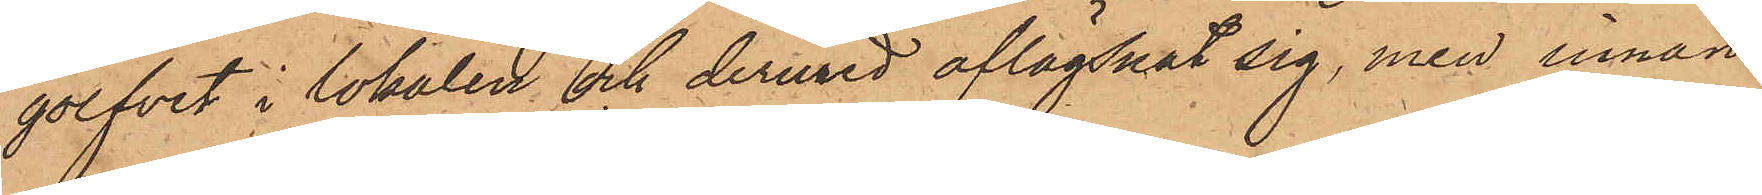golfvet i lokalen och dermed aflägsnat sig, men innan
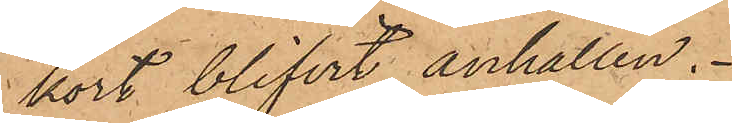kort blifvit anhållen.
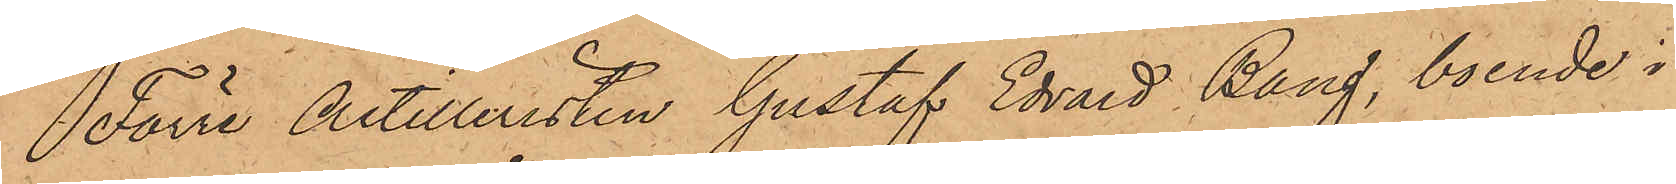Förre Artilleristen Gustaf Edvard Bang, boende i
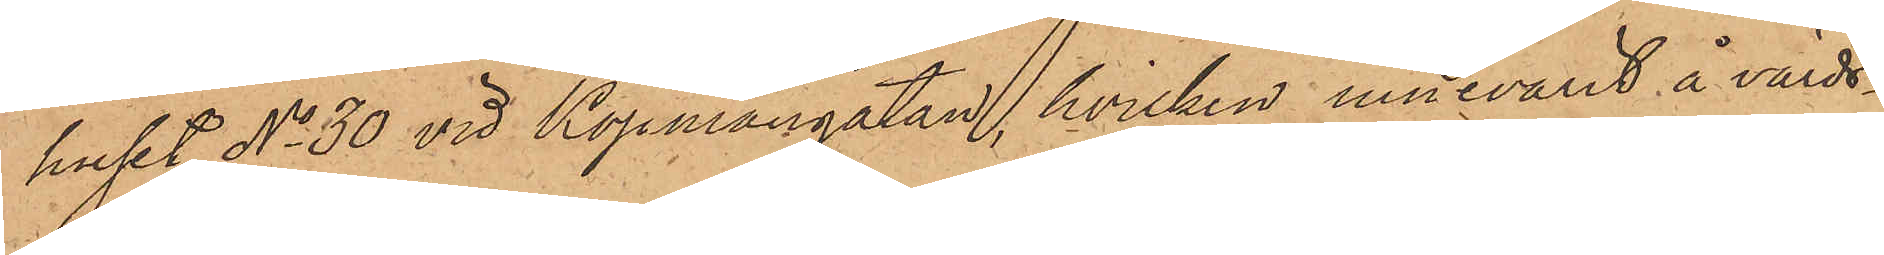huset No 30 vid Köpmangatan, hvilken innevarit å värds¬
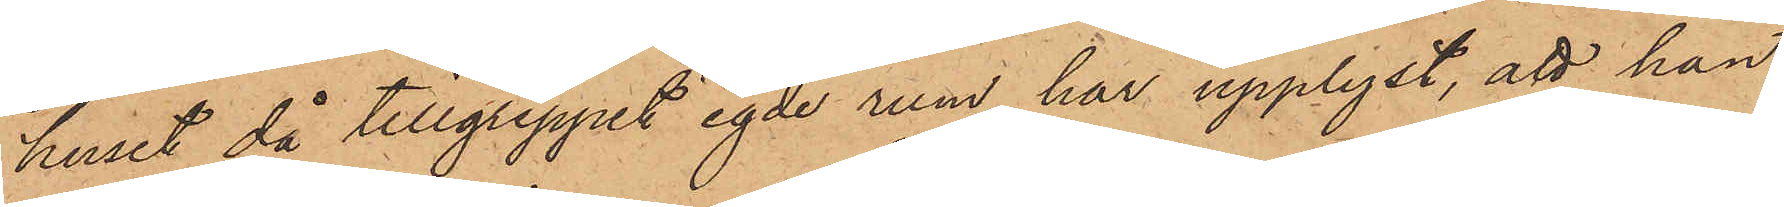huset då tillgreppet egde rum, har upplyst, att han
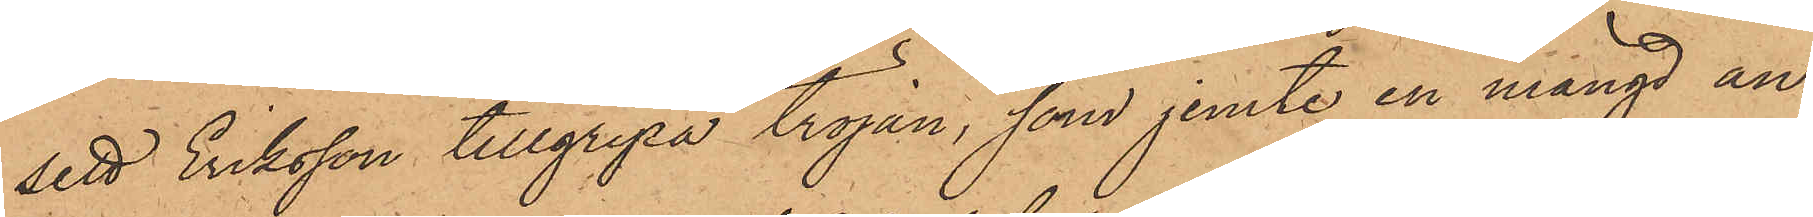sett Eriksson tillgripa tröjan, som jemte en mängd an¬
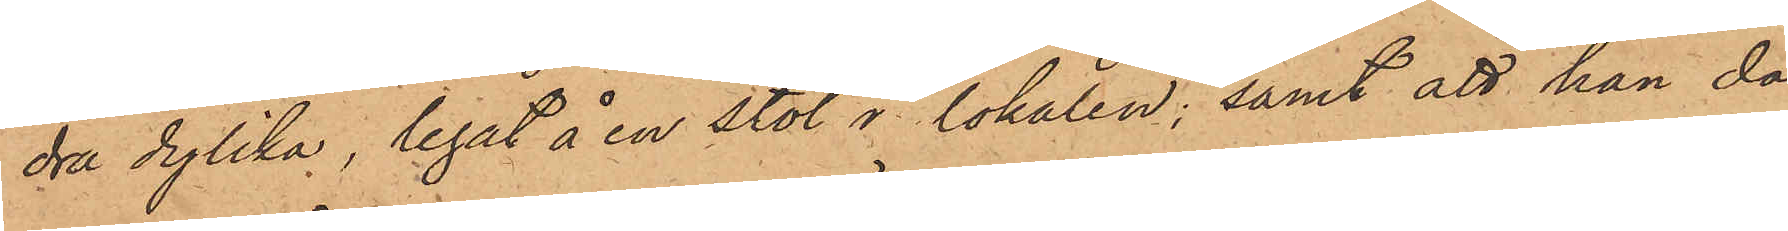dra dylika, legat å en stol i lokalen; samt att han då
